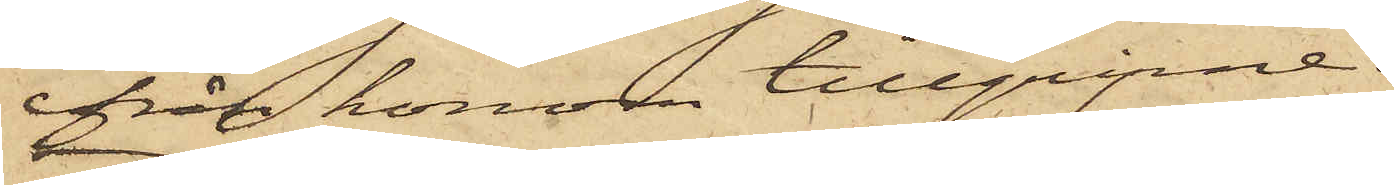från honom tillgripne.
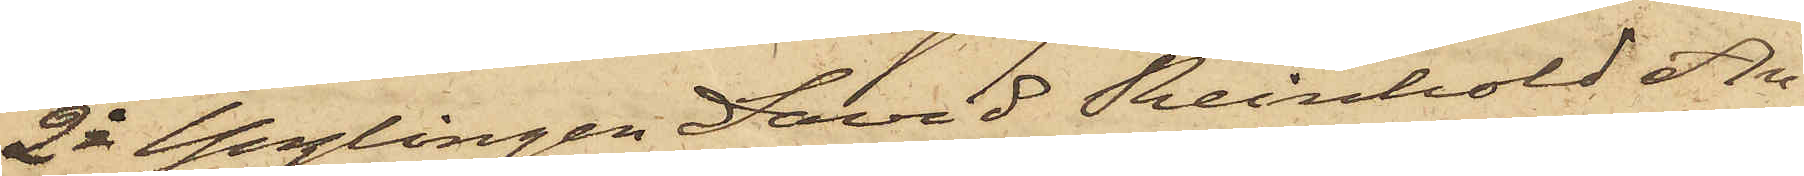2o Ynglingen David Reinhold An¬
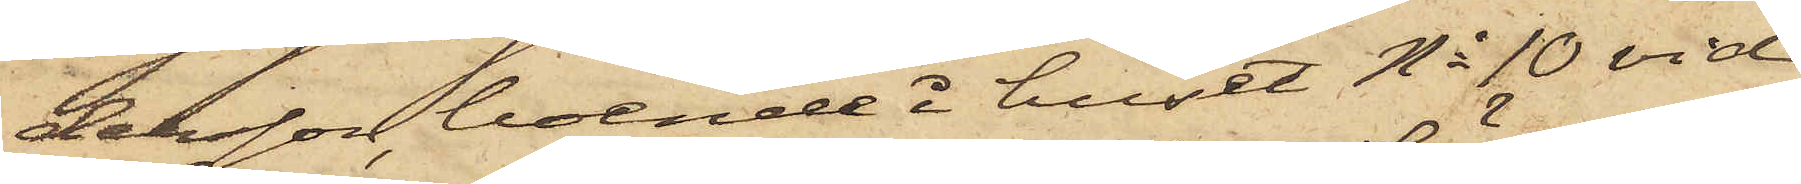dersson, boende i huset No 10 vid
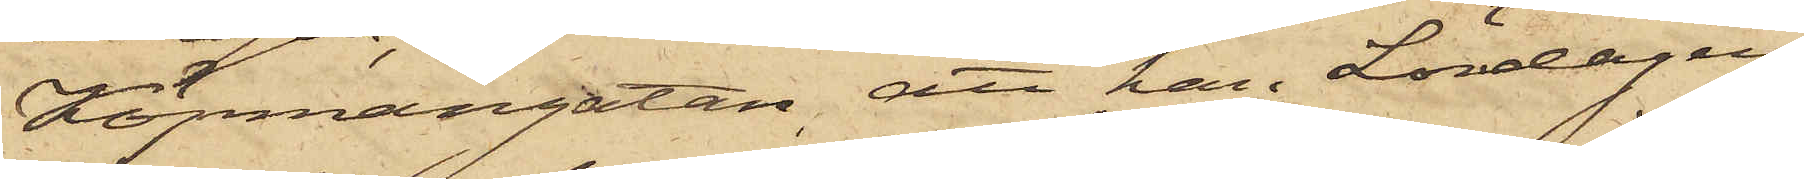Köpmangatan, att han Lördagen
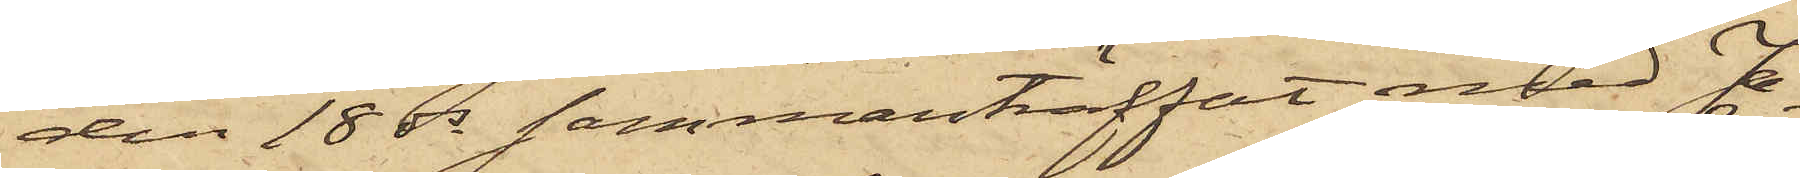den 18 ds sammanträffat med Ja¬
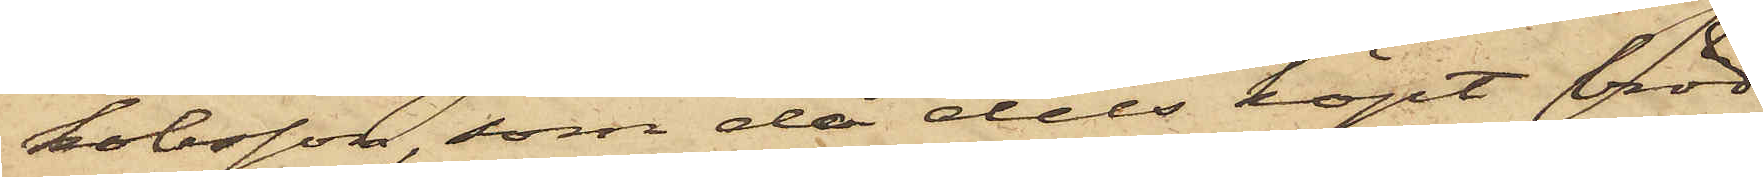kobsson, som då dels köpt bröd
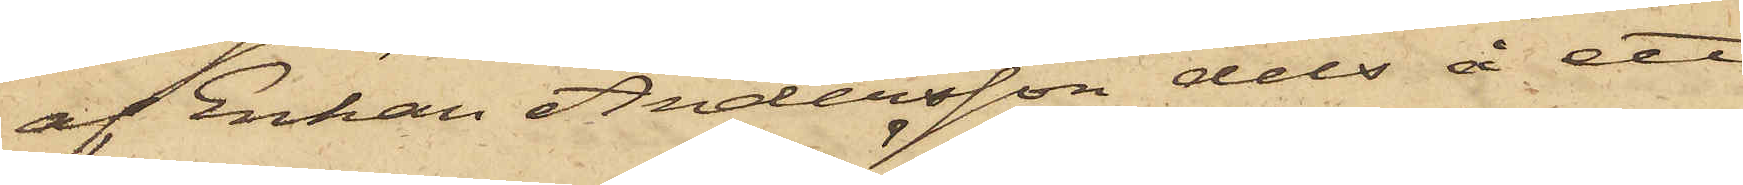af Enkan Andersson dels å ett
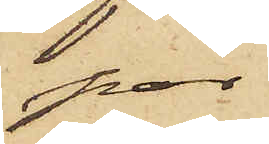par
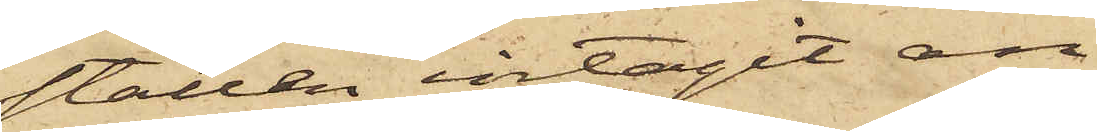ställen intagit an¬
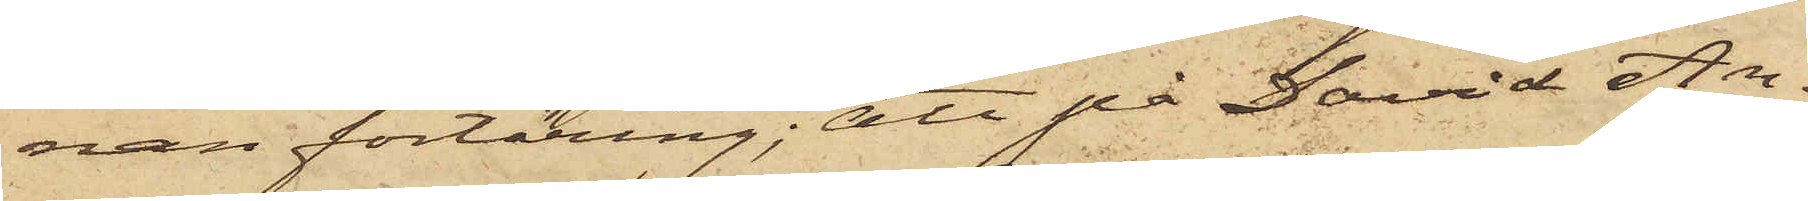nan förtäring; att på David An¬
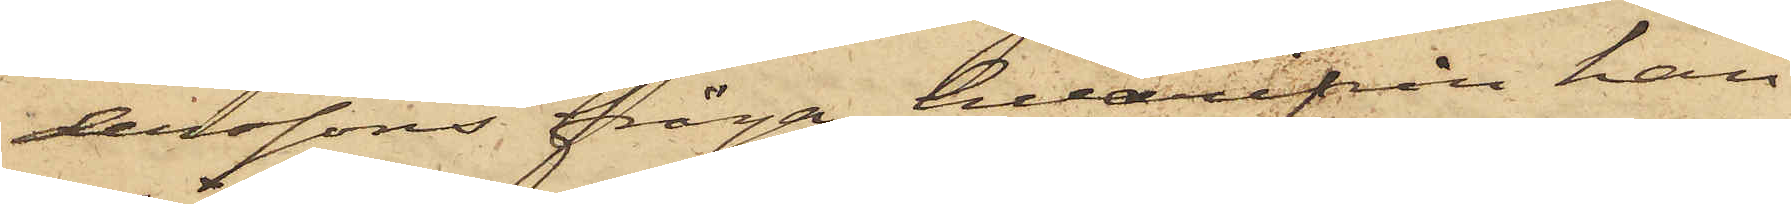derssons fråga hvarifrån han
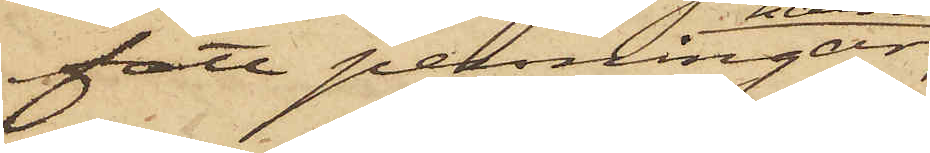fått penningar,
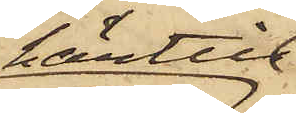härtill
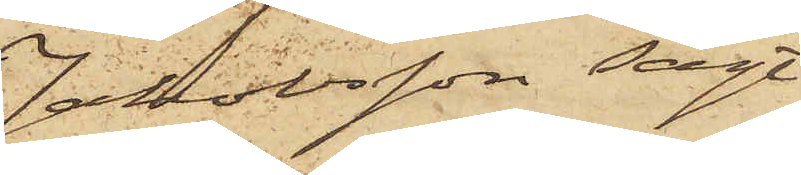Jakobsson sagt
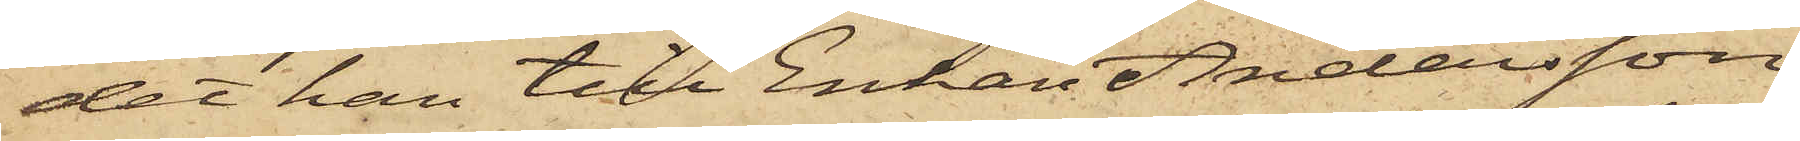det han till Enkan Andersson
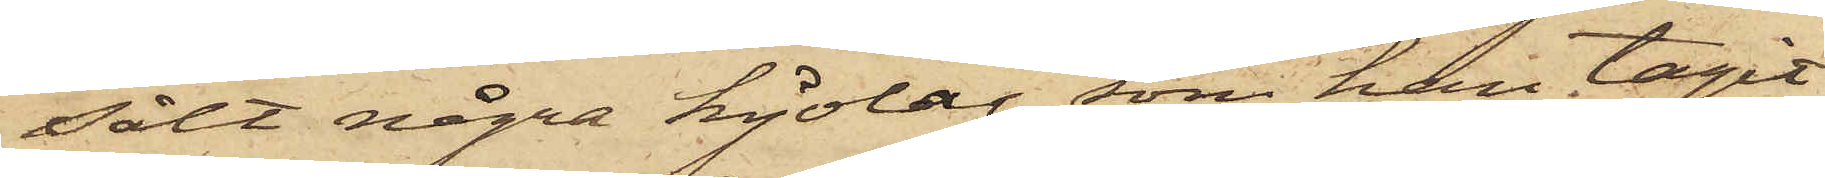sålt några kjolar, som han tagit
